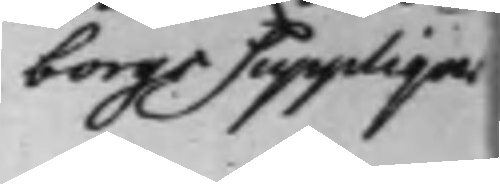borgs Supplique
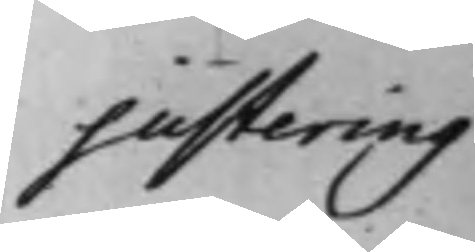justering
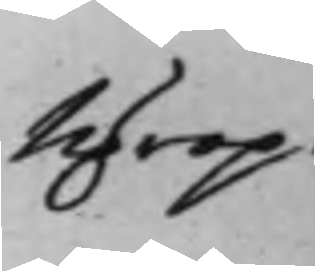Uprop.
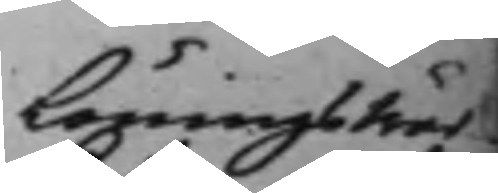Löningswär¬
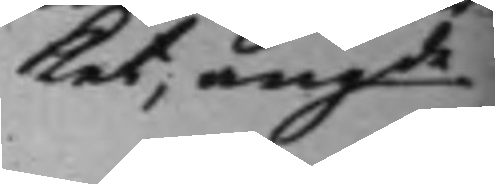ket, angde
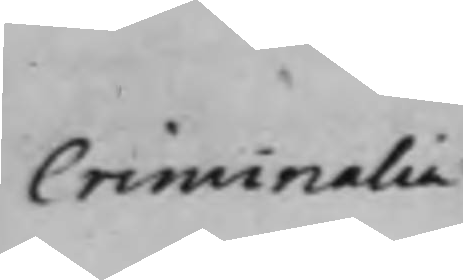criminalia
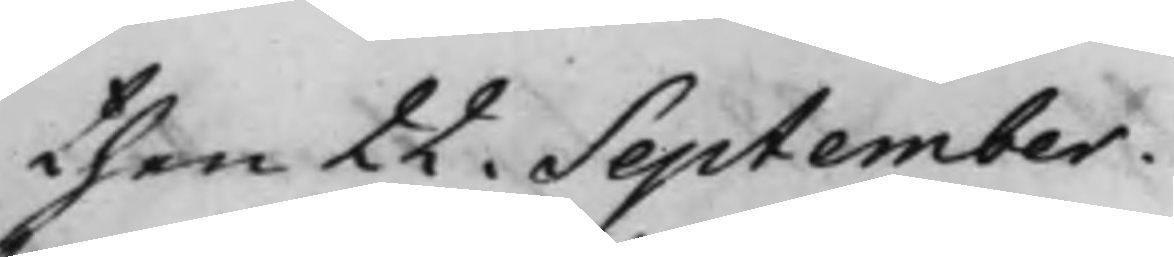then 22. September.
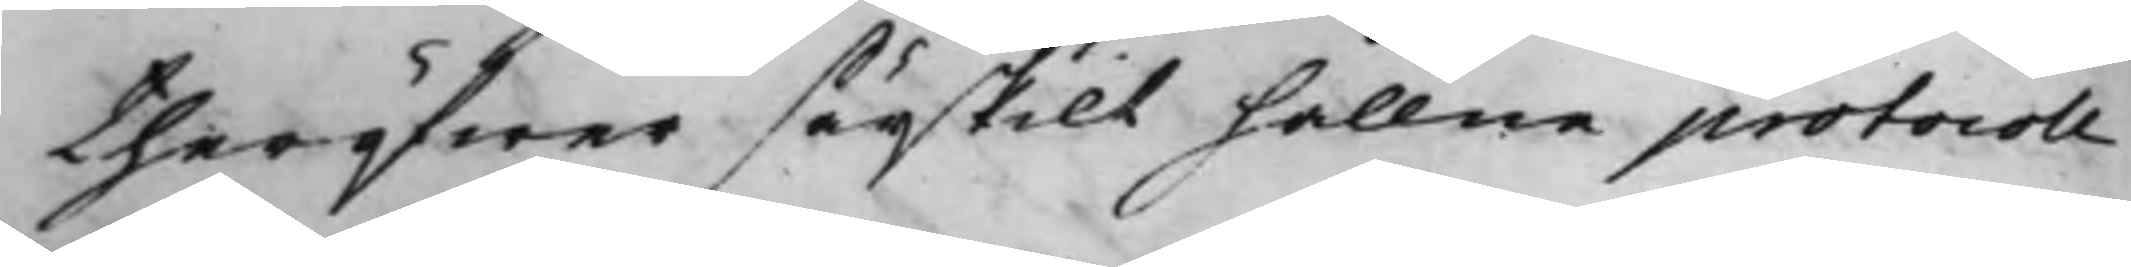theröfwer särskilt hållne protocoll
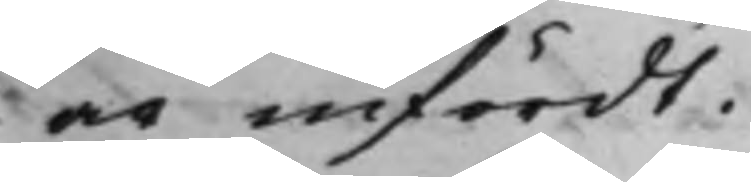är infördt.
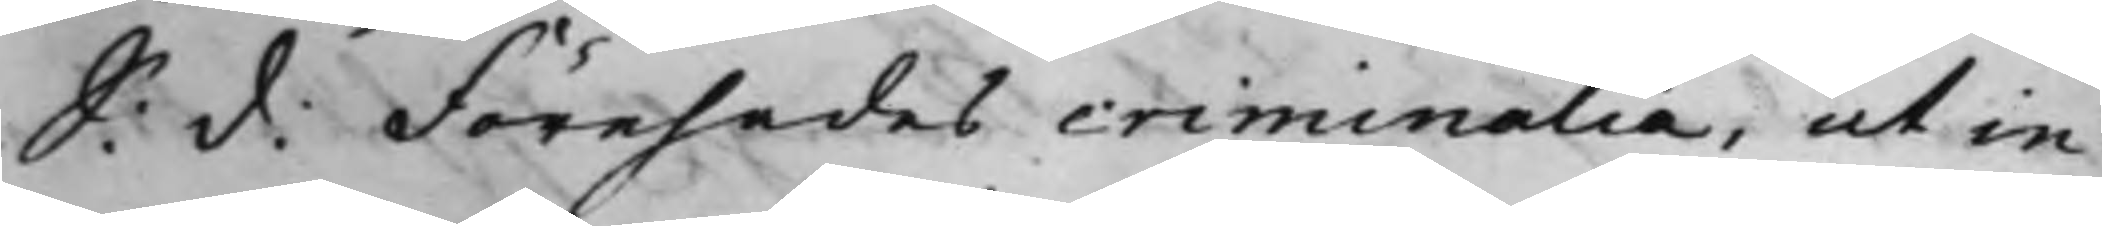S: d: Förehades criminalia, ut in
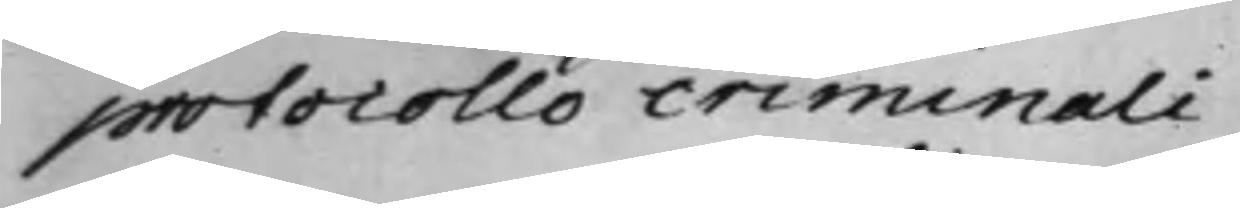protocollo criminali.
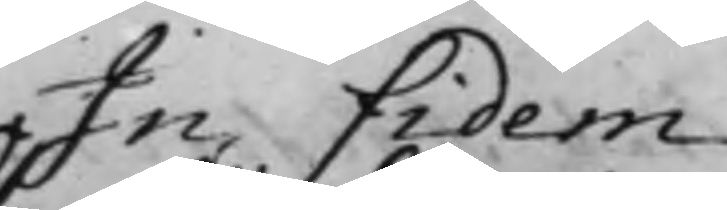In Fidem
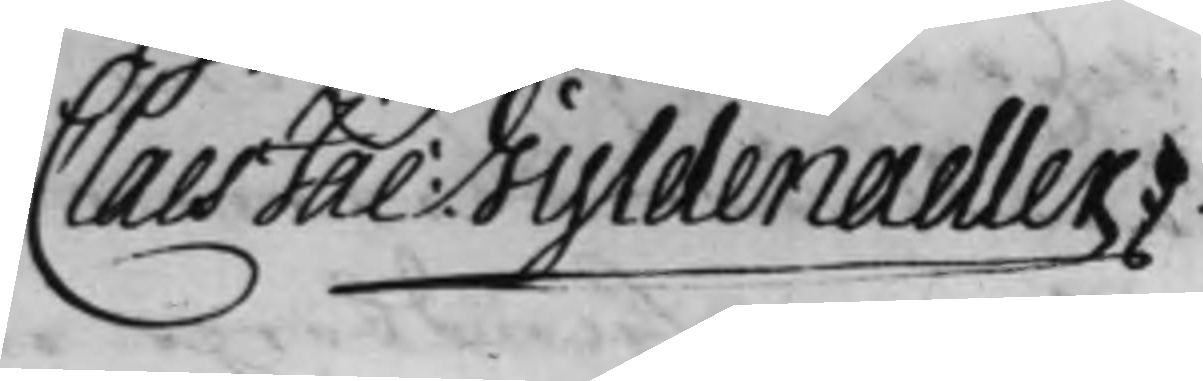Claes Jac: Gyldenadler.
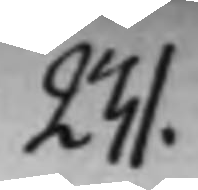231.
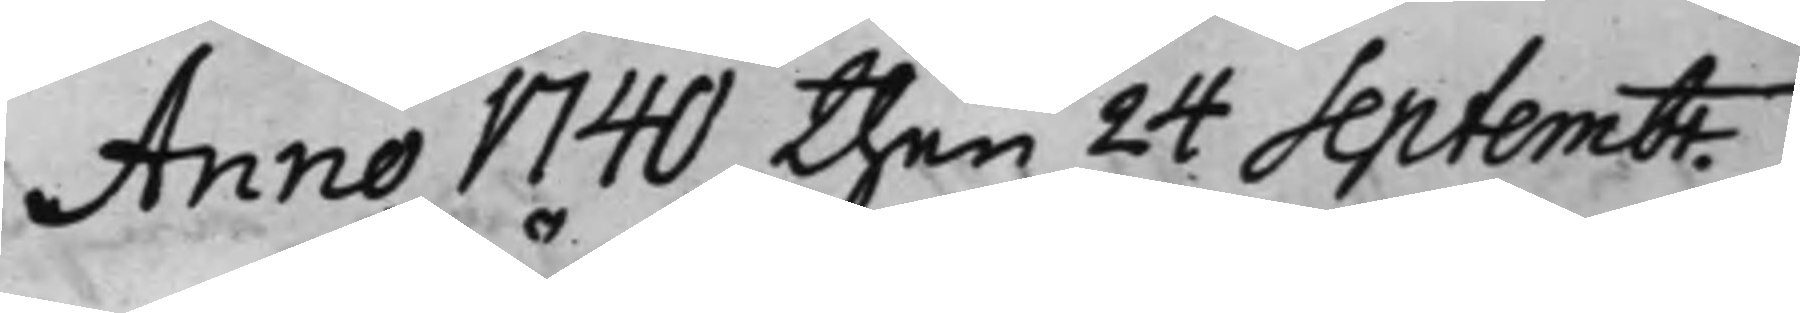Anno 1740 then 24 Septembr.
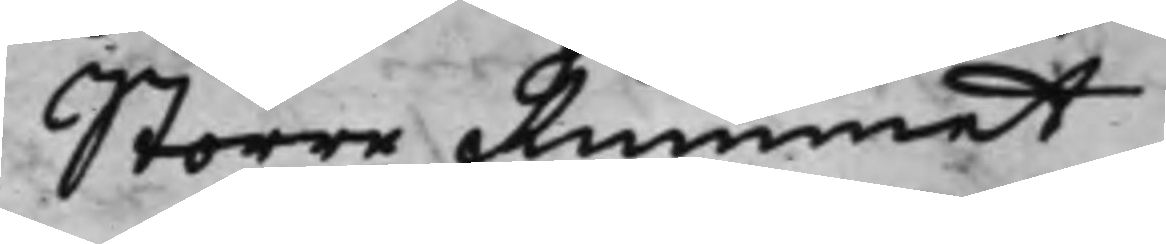Större Rummet.
